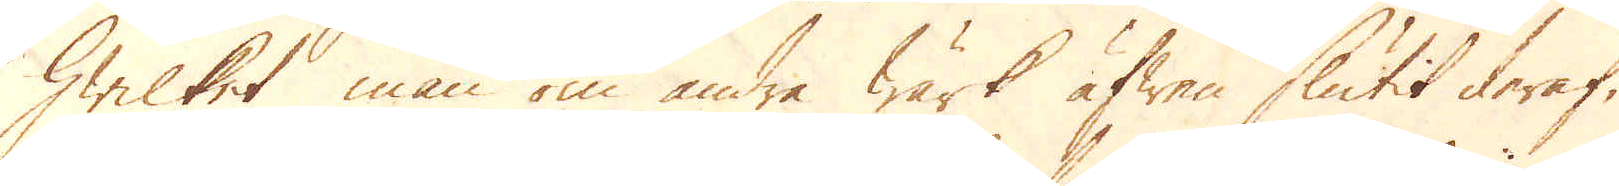hwilket man om andre wärk äfwen slutit deraf,
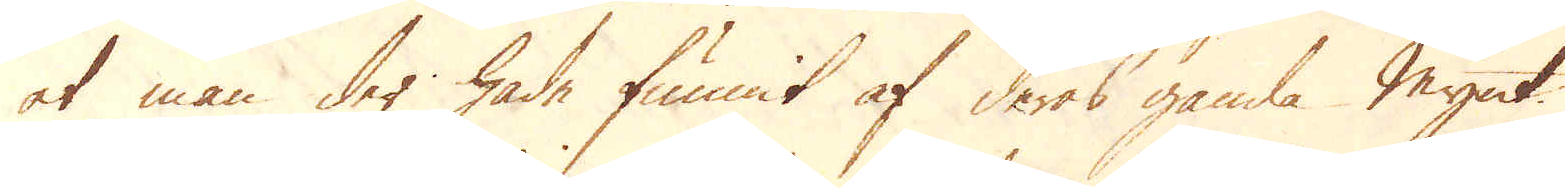at man der hade funnit af deras gamla Mynt.
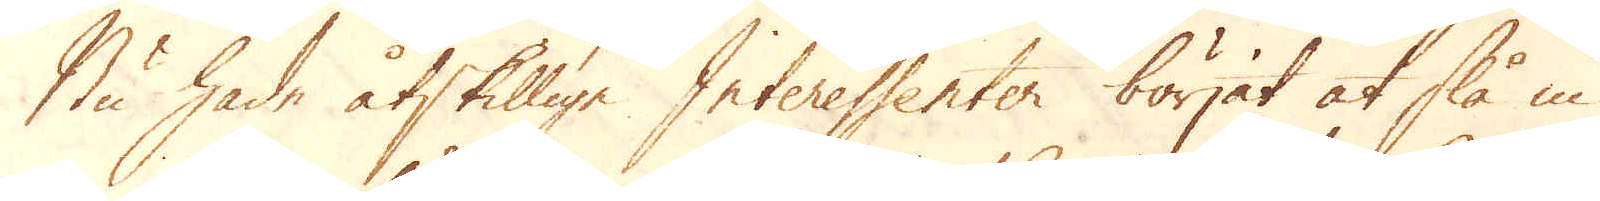Nu hade åtskillige Interessenter börjat slå in
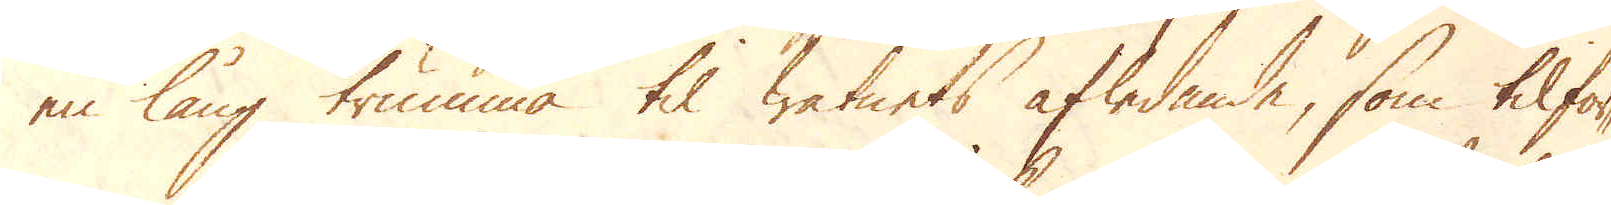en lång trumma til watnets afledande, som tilför-
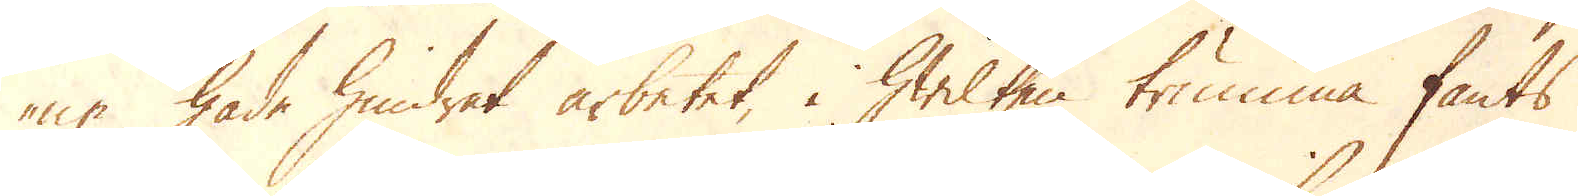ne hade hindrat arbetet, i hwilken trumma fants
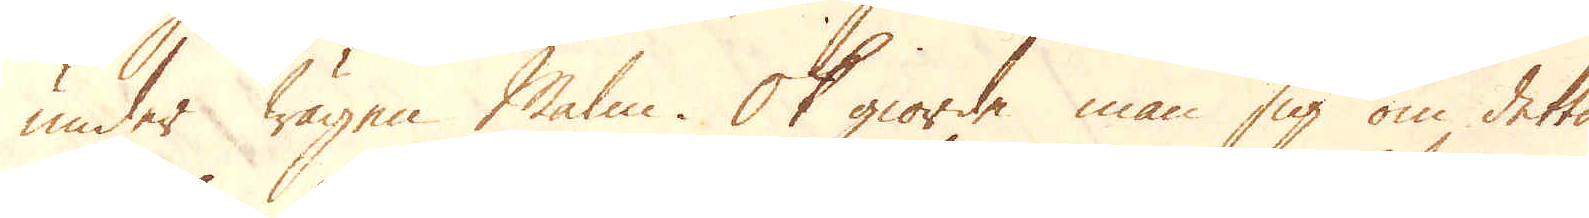under wägen Malm. Ok giorde man sig om detta
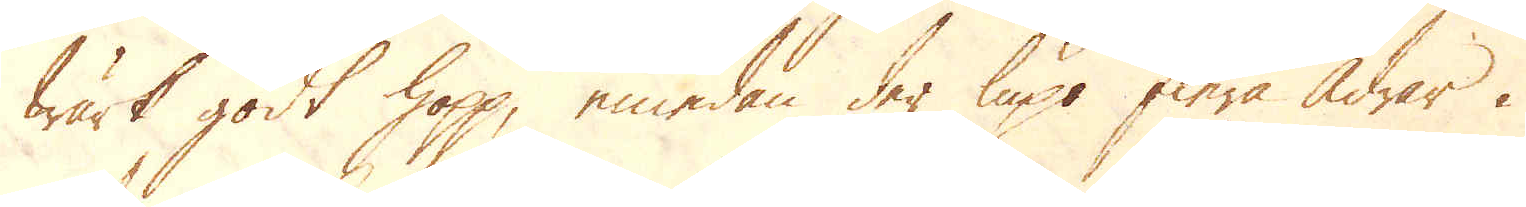wärk godt hopp, emedan der lupo flera Ådrar i
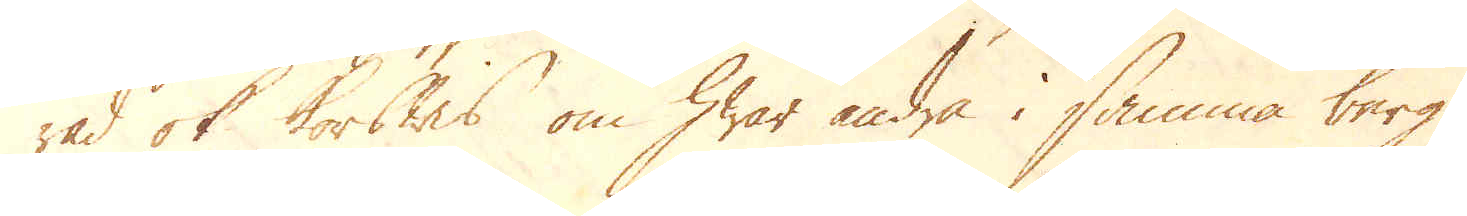rad ok korswis om hwar andra i samma berg.
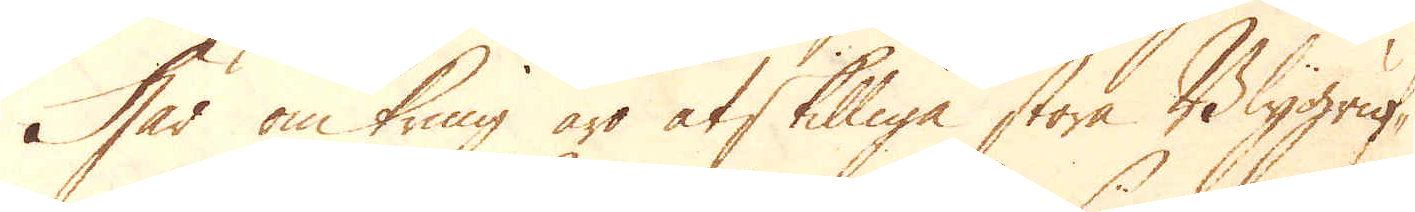Här omkring äro åtskillige stora Blygruf-
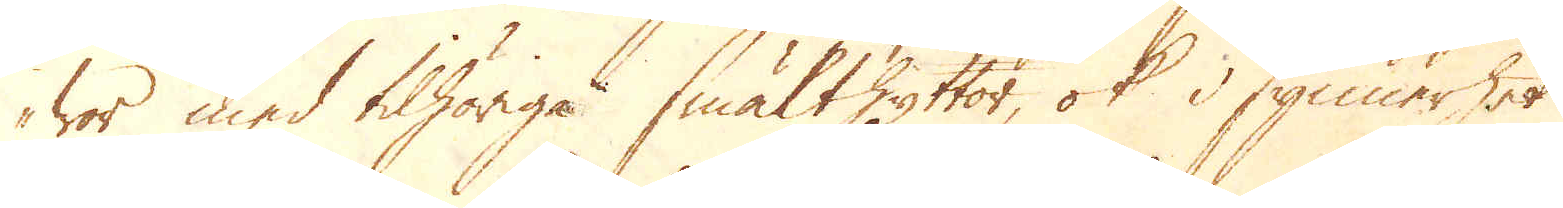wor med tilhöriga Smälthyttor, ok i synnerhet
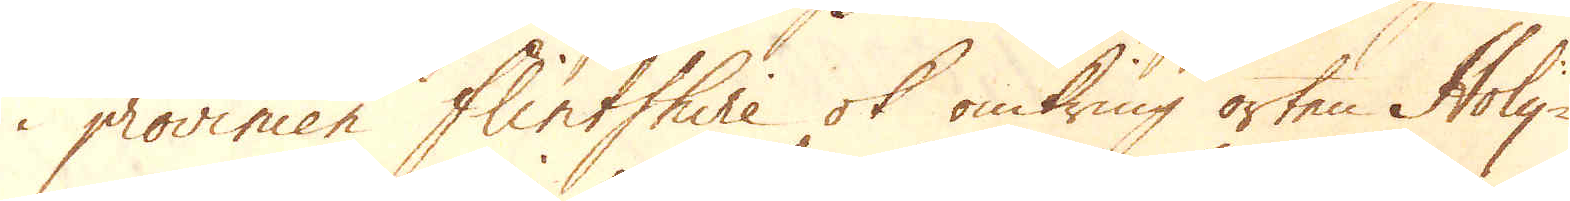i provincen Flintshire ok omkring orten Holy-
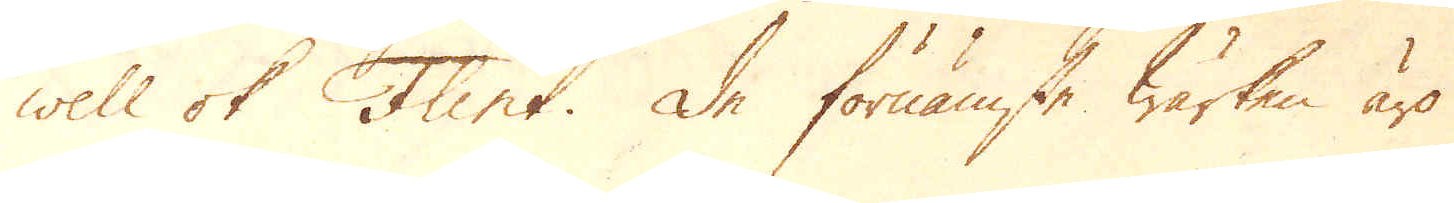well ok Flint. De förnämste wärken äro
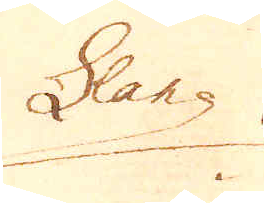Llang
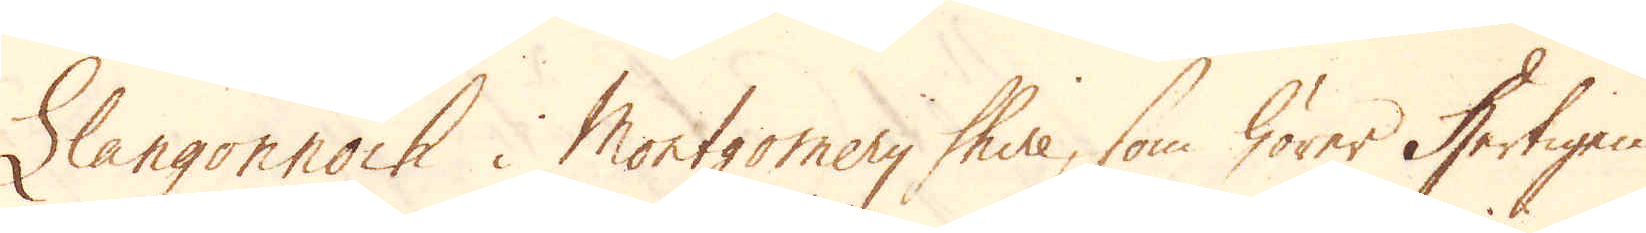Llangonnock i Montgomery Shire, som hörer Hertigen
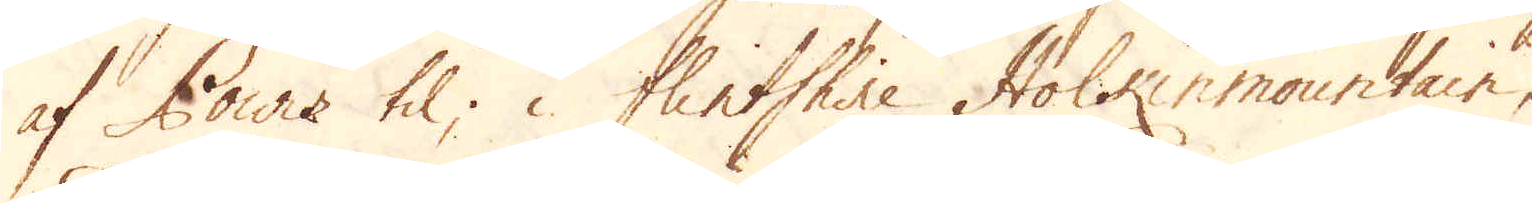af Powiz til; i Flintshire Holkinmountain,
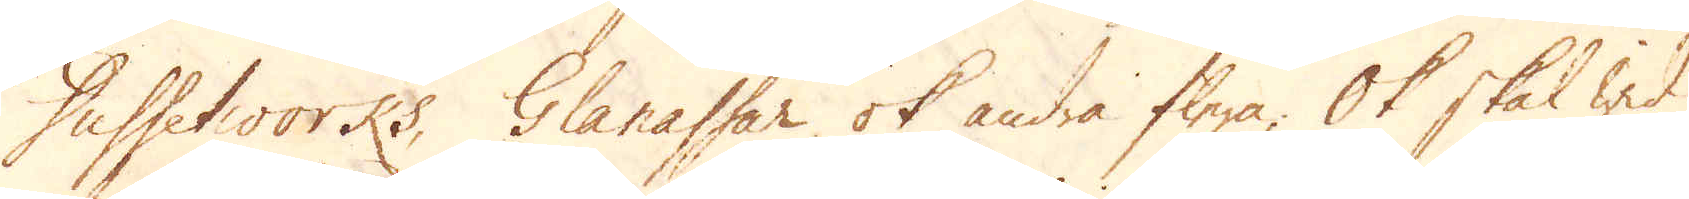Dussetworks, Glanassar ok andra flere; Ok skal wid
